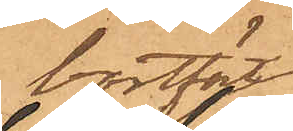bortfört
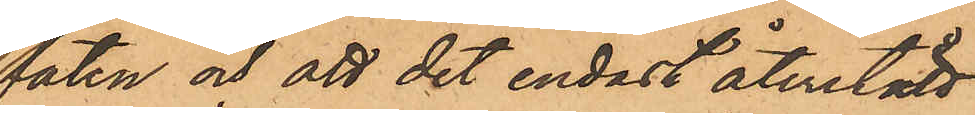faten och att det endast återstått
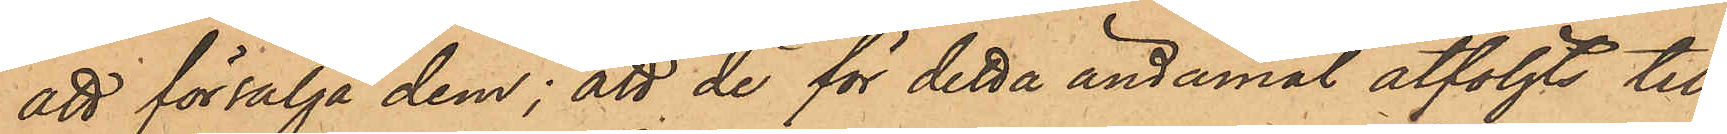att försälja dem; att de för detta ändamål åtföljts till
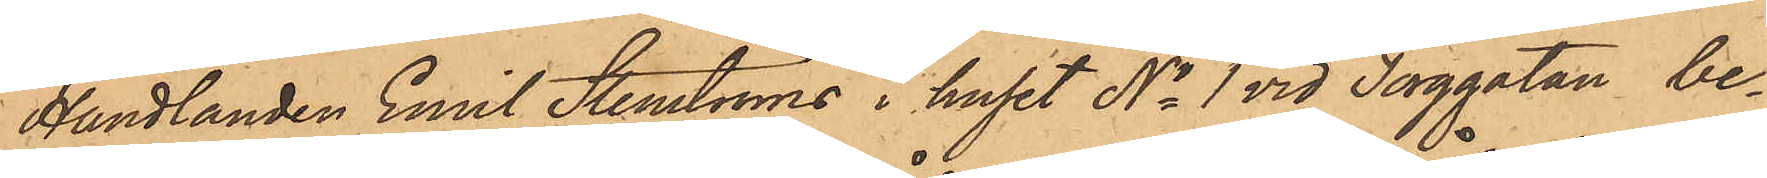Handlanden Emil Stenströms i huset No 1 vid Torggatan, be¬
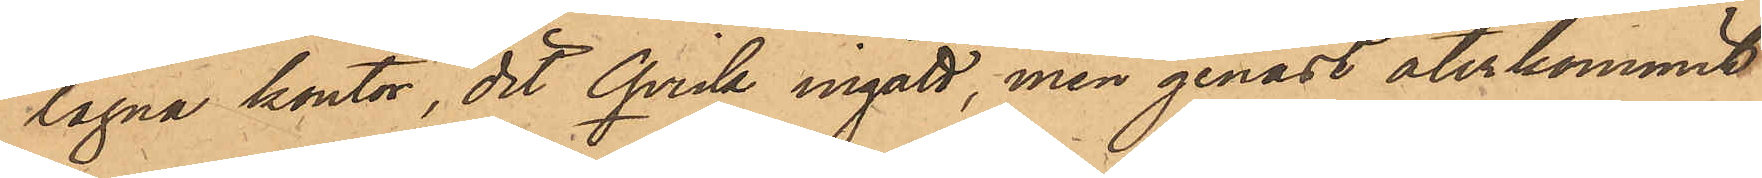lägna kontor, dit Qvick ingått, men genast återkommit
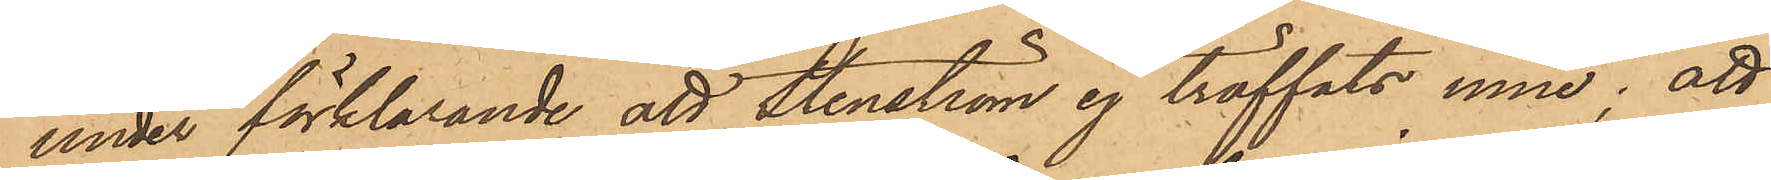under förklarande att Stenström ej träffats inne; att
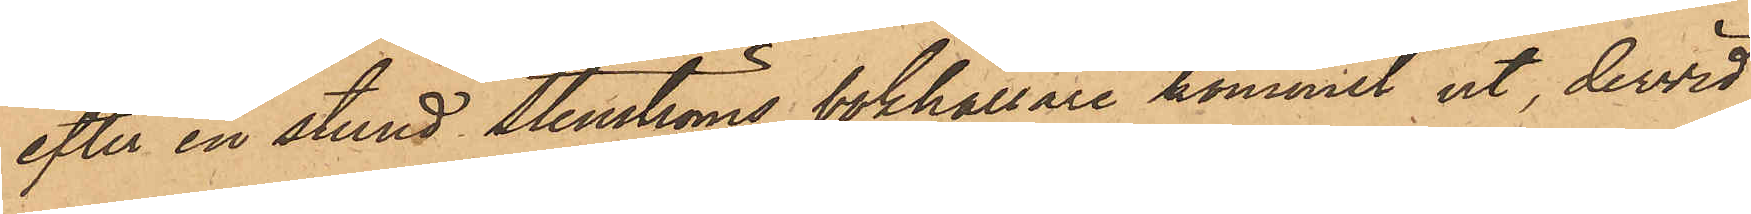efter en stund Stenströms bokhållare kommit ut, dervid
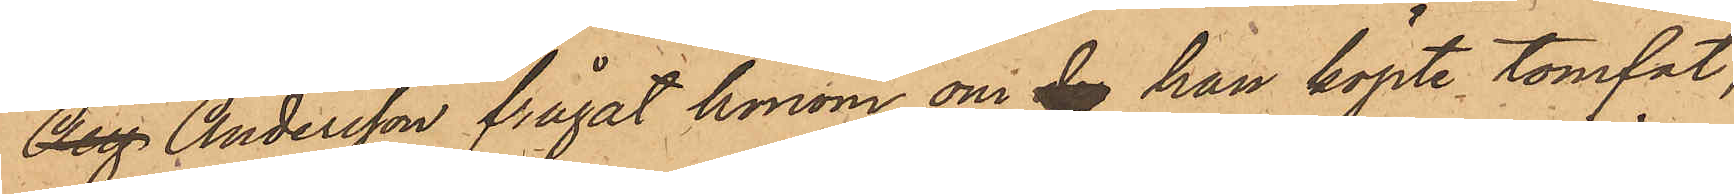Aug Andersson frågat honom om de han köpte tomfat,
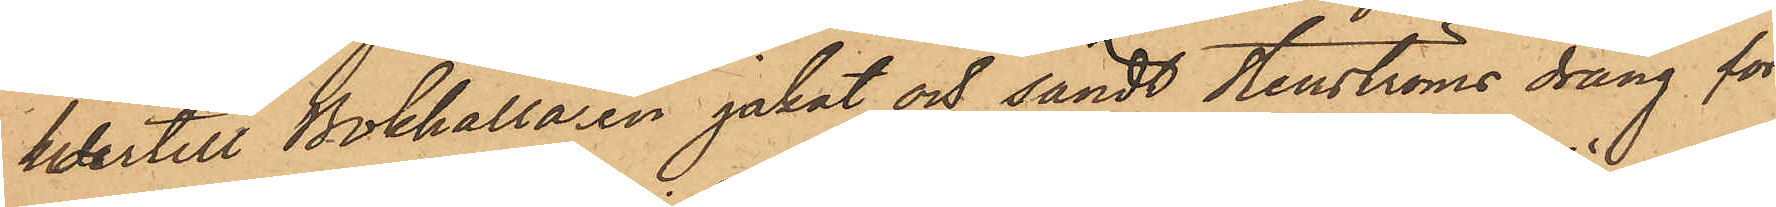hertill Bokhållaren jakat och sändt Stenströms dräng för
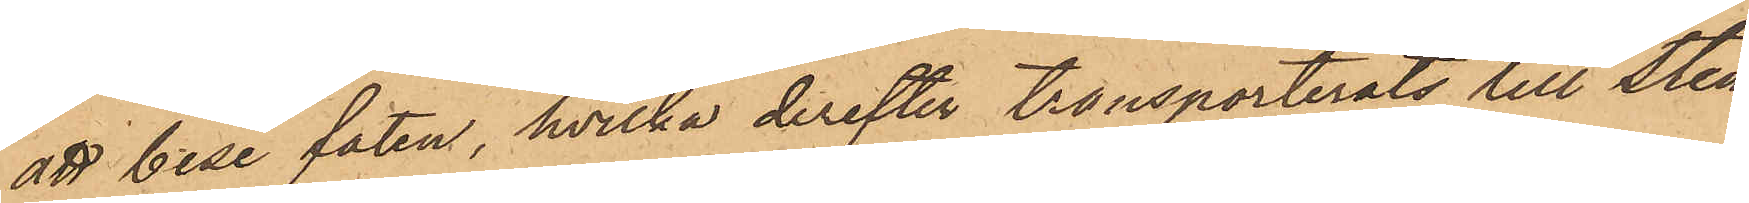att bese faten, hvilka derefter transporterats till Sten¬
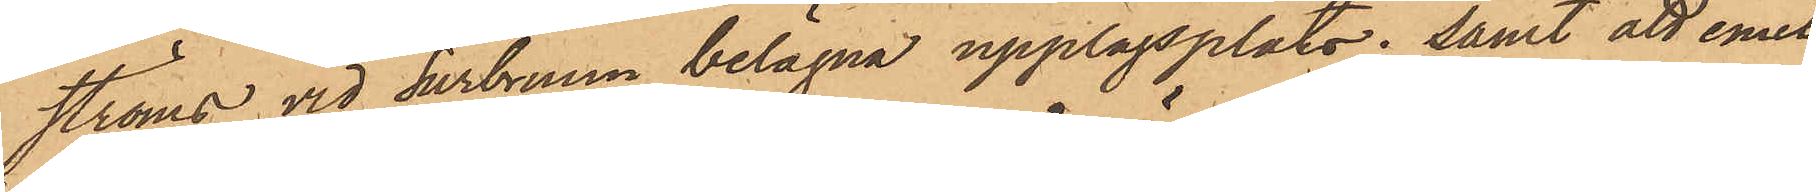ströms vid Surbrunn belägna upplagsplats; samt att emel¬
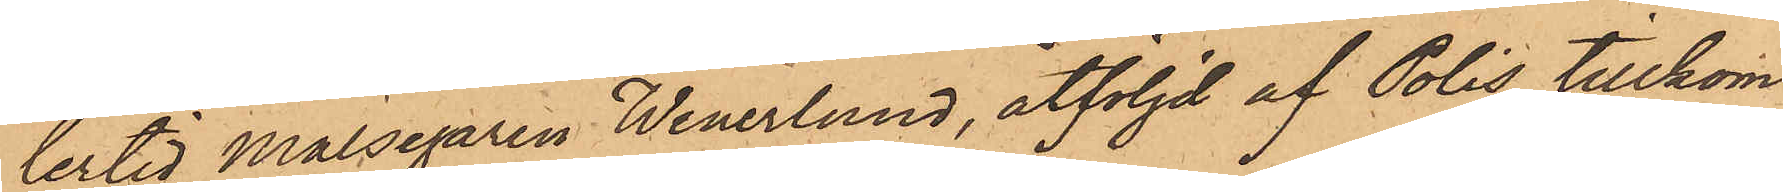lertid Målsegaren Wenerlund, åtföljd af Polis tillkom¬
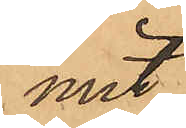mit
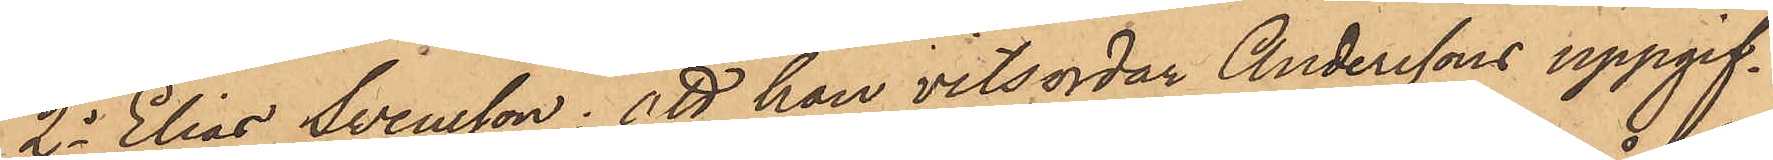2o Elias Svensson: att han vitsordar Anderssons uppgif¬
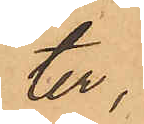ter,
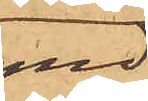med
